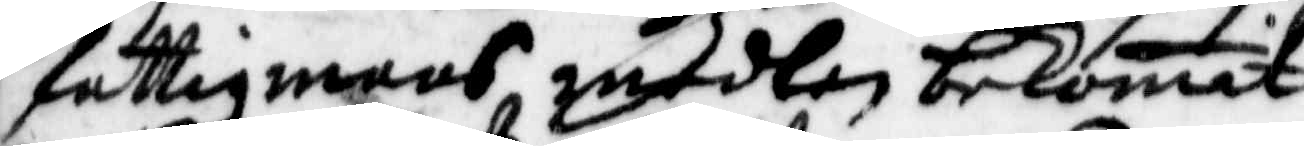fattigmans medlen bekomit
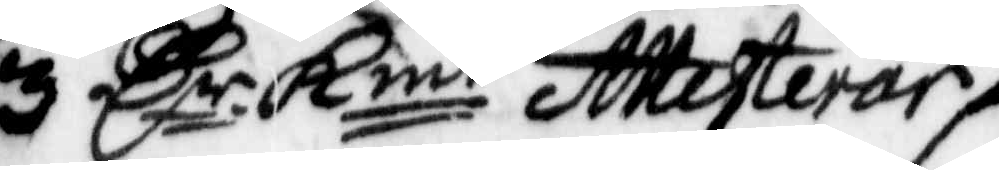3 Cr Kmt Attesterar
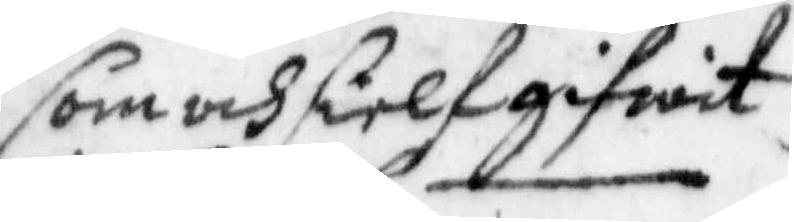som och sielf gifwit
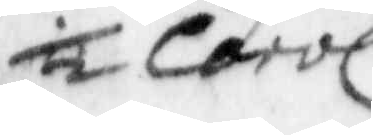½ Carol
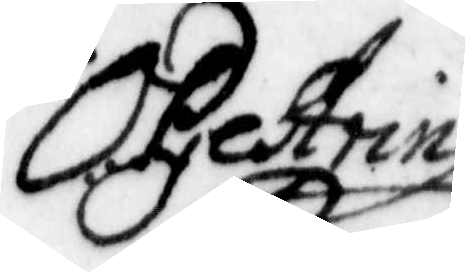O. Gestein
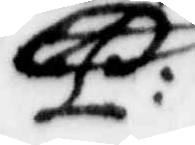P:
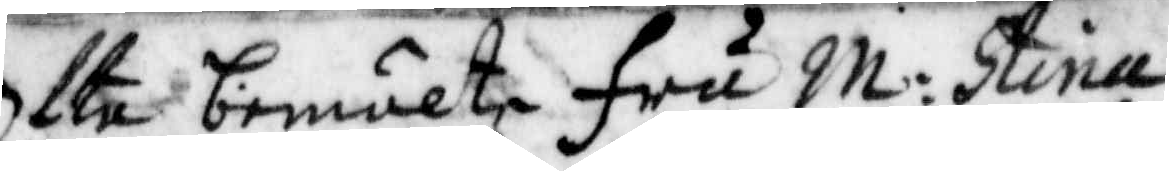Ofta bemälte fru M: Stina
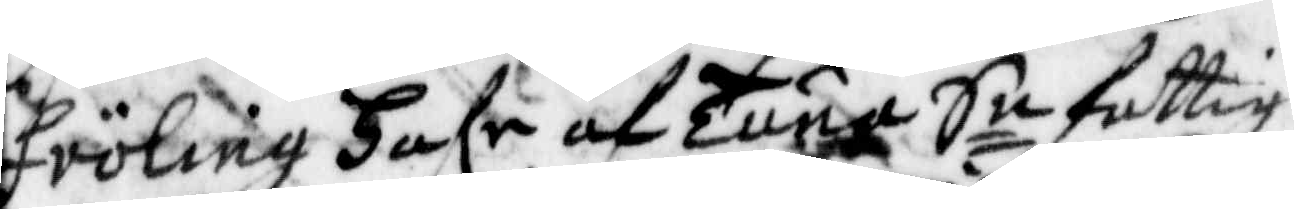Fröling Hafr af Tuna Sn fattig¬
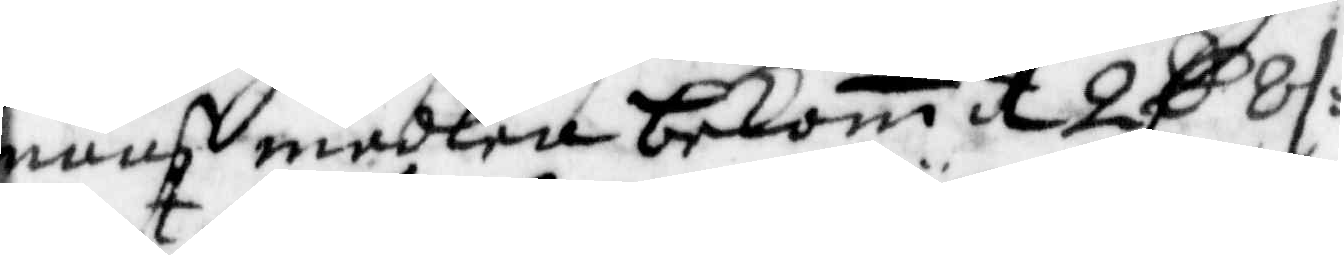mans medlen bekomit 2 C 8 /:
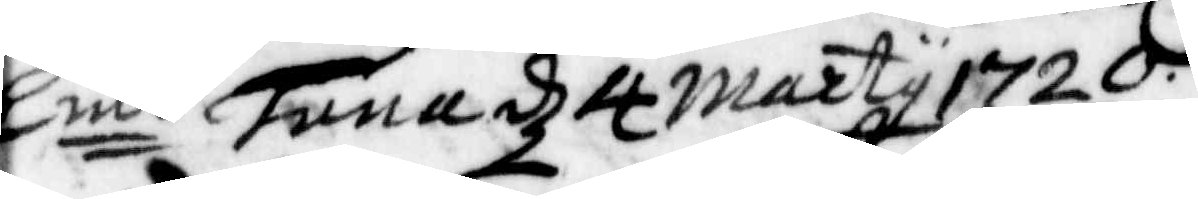Kmt Tuna d 4 marty 1720.
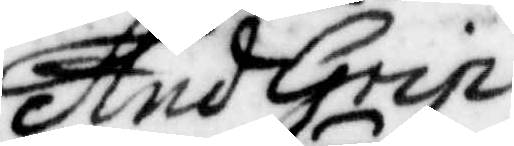And Grip
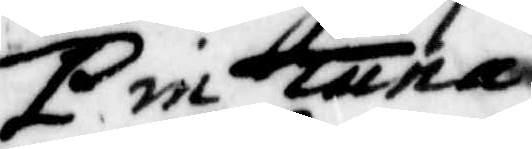P in Tuna
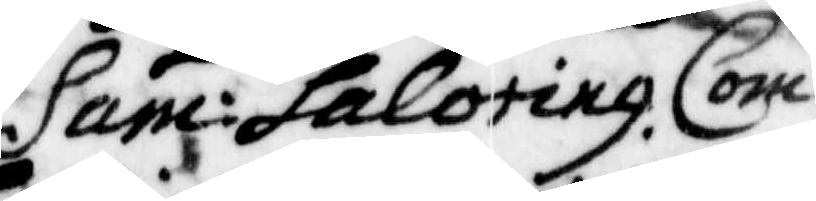Sam: Saloting Com
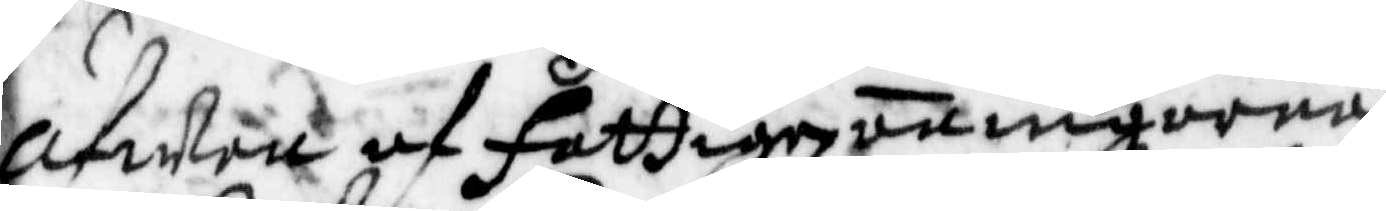Äfwen af fattiges aningarna
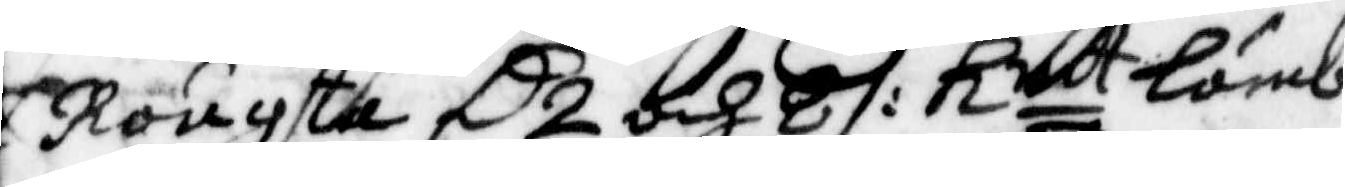i Rougsta C 2 och 8 /: Kmt lämb¬
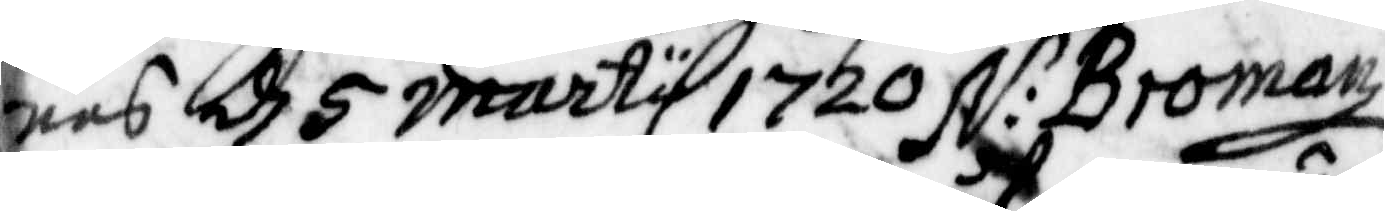nas d 5 marty 1720 N: Bromanz
